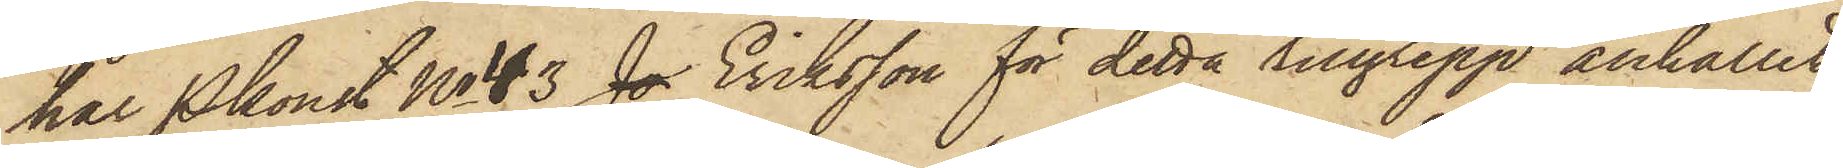har Pkonst No 43 J. Eriksson för detta tillgrepp anhållit
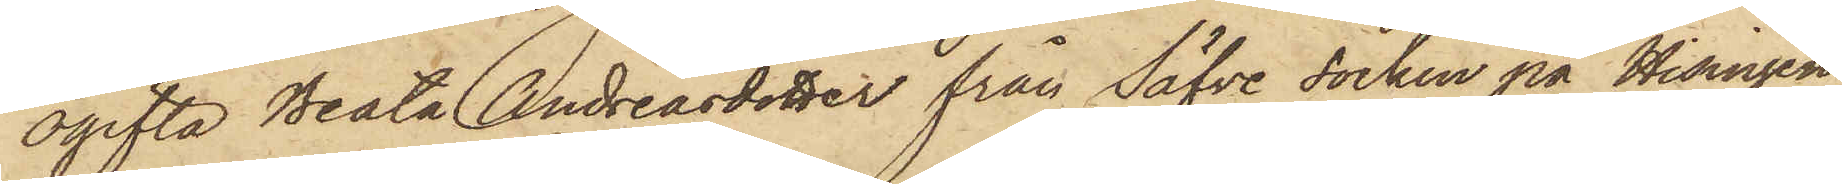ogifta Beata Andreasdotter från Säfve socken på Hisingen,
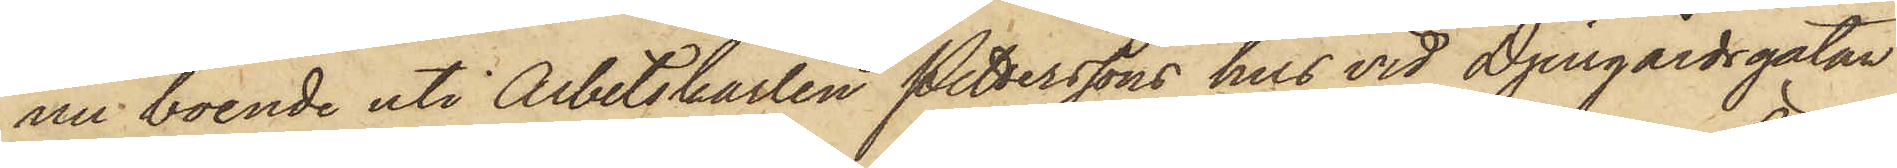nu boende uti Arbetskarlen Petterssons hus vid Djurgårdsgatan
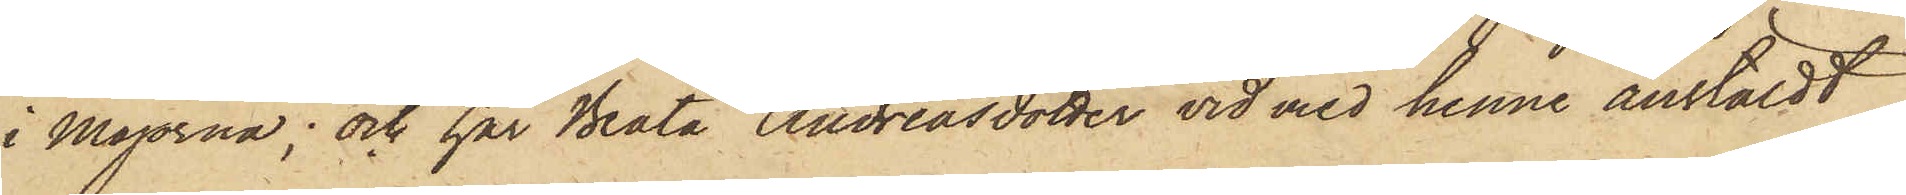i Majorna; och har Beata Andreasdotter vid med henne anstäldt
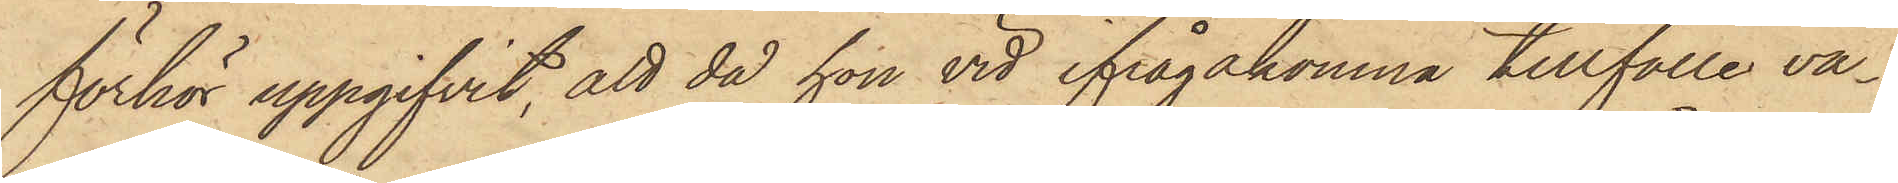förhör uppgifvit, att då hon vid ifrågakomna tillfälle va¬
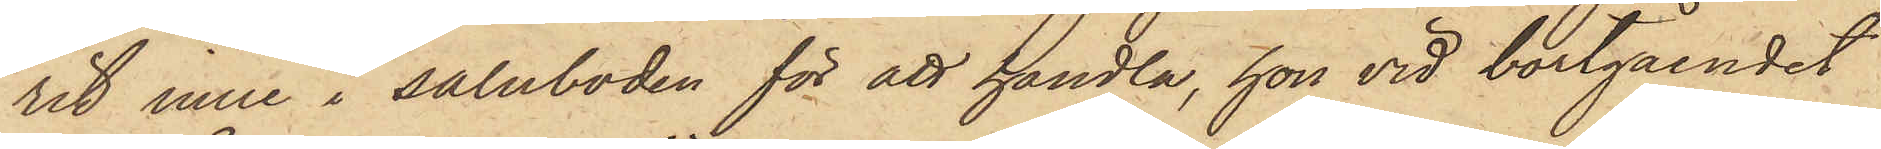rit inne i saluboden för att handla, hon vid bortgåendet
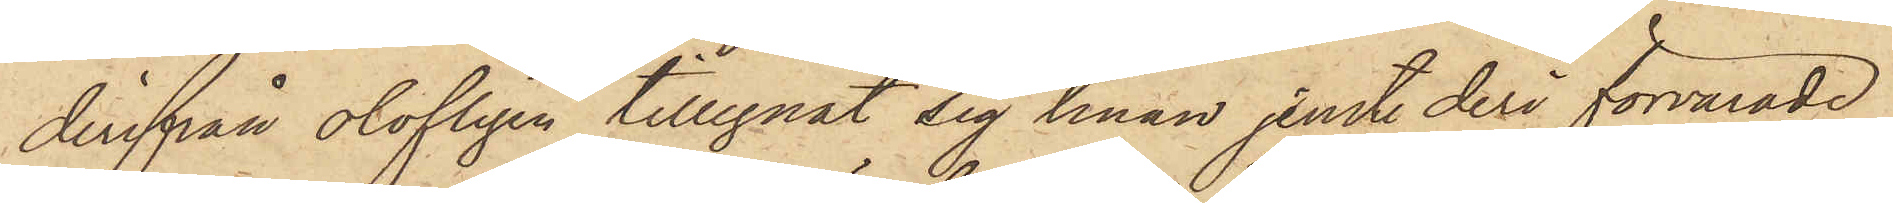derifrån olofligen tillegnat sig tinan jemte deri förvarade
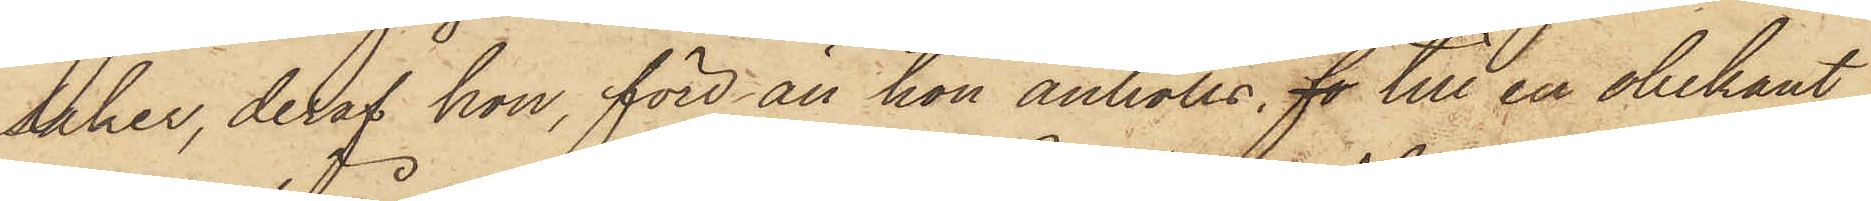saker, deraf hon, förr än hon anhölls, fo till en obekant
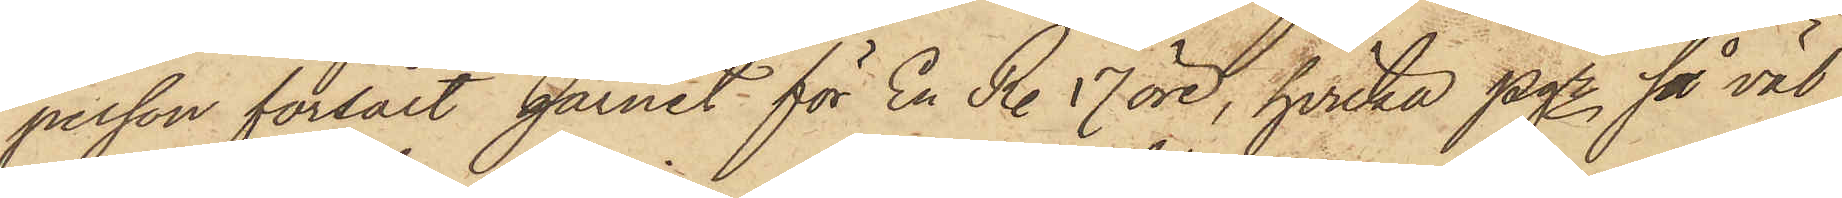person försålt garnet för En R. 17 öre, hvilka pgr, så väl
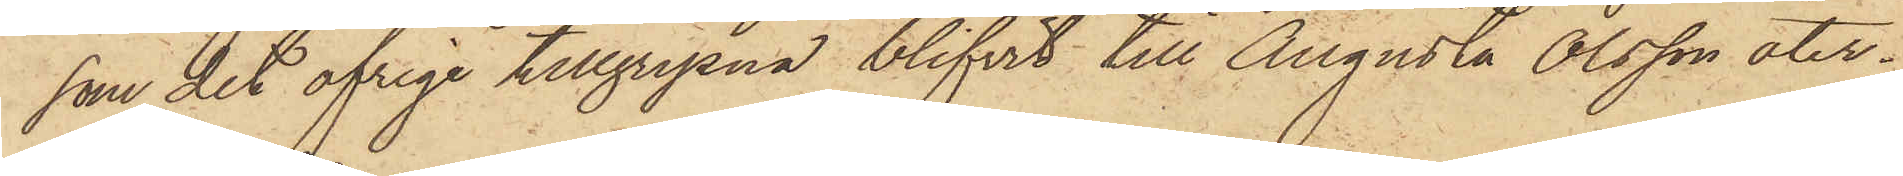som det öfrige tillgripna blifvit till Augusta Olsson åter¬
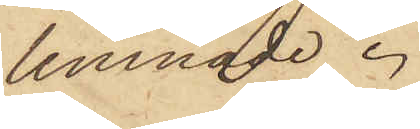lemnade.
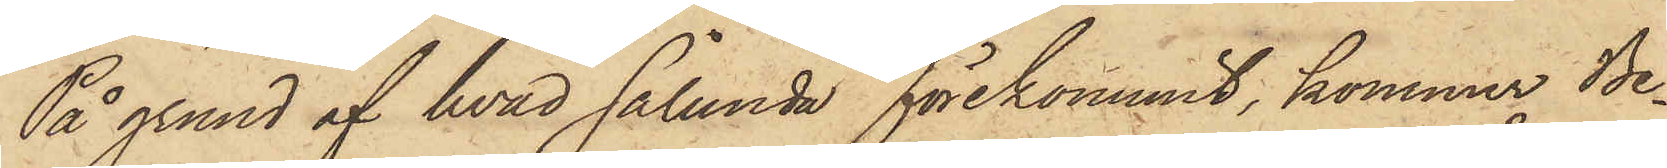På grund af hvad sålunda förekommit, kommer Be¬
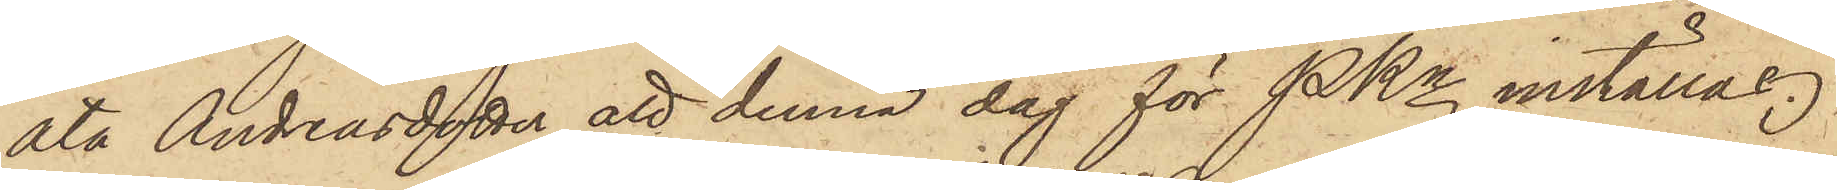ata Andreasdotter att denna dag för PKn inställas.
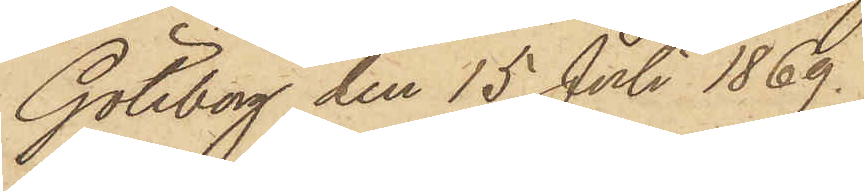Göteborg den 15 Juli 1869.
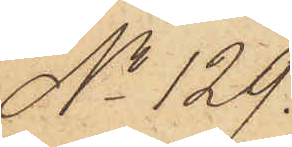No 129.
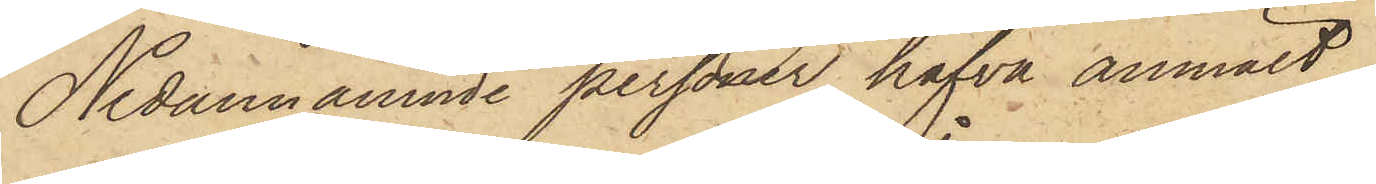Nedannämnde personer hafva anmält
